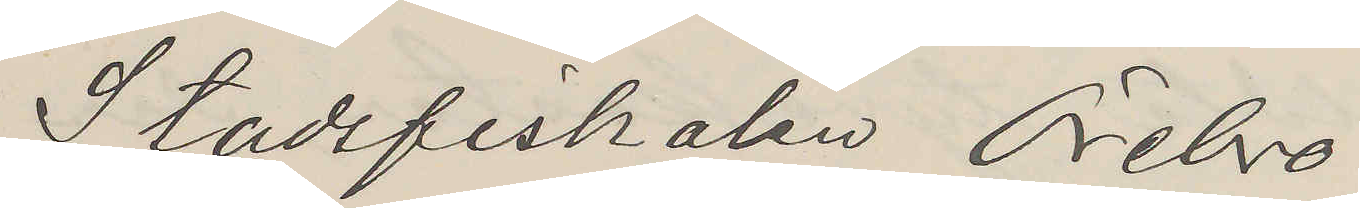Stadsfiskalen Örebro
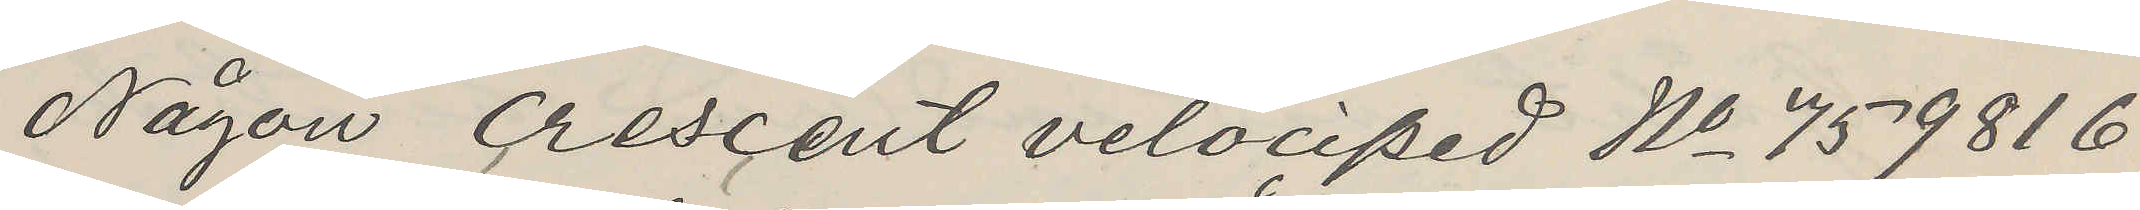Någon crescent velociped No 759816
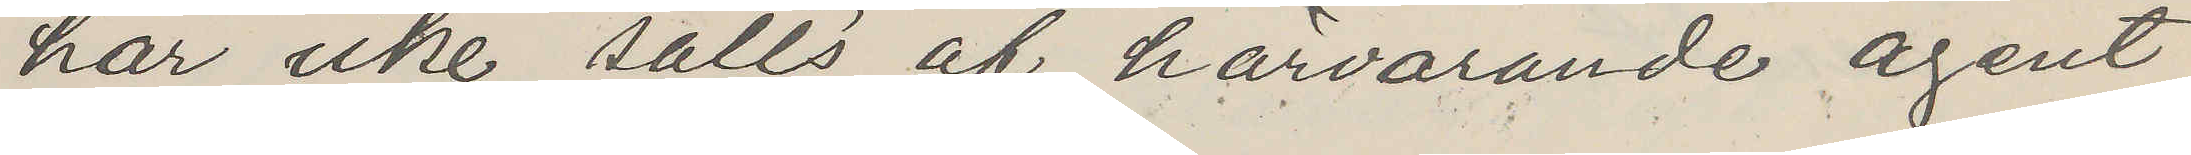har icke sålts af härvarande agent
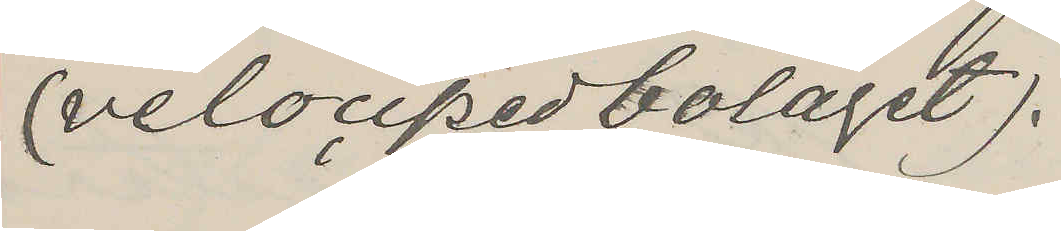(velocipedbolaget).
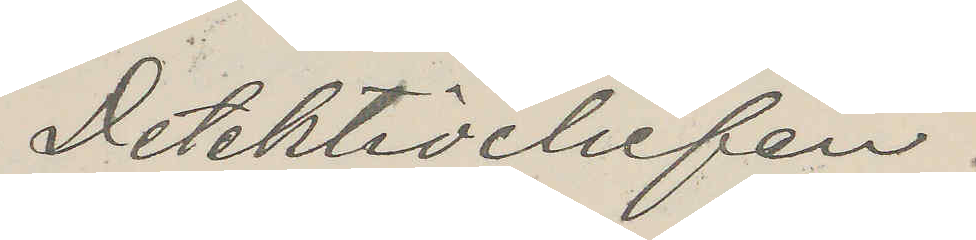Detektivchefen.
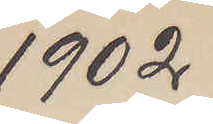1902
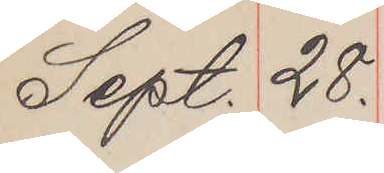Sept. 28.
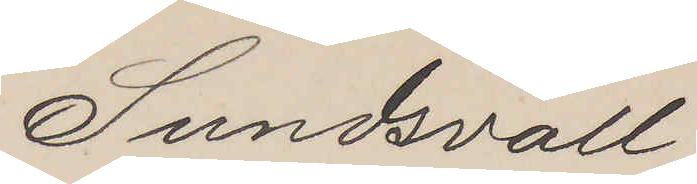Sundsvall
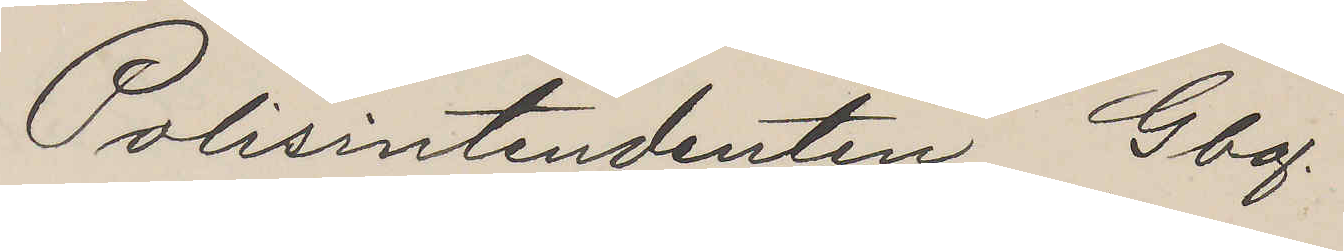Polisintendenten Gbg.
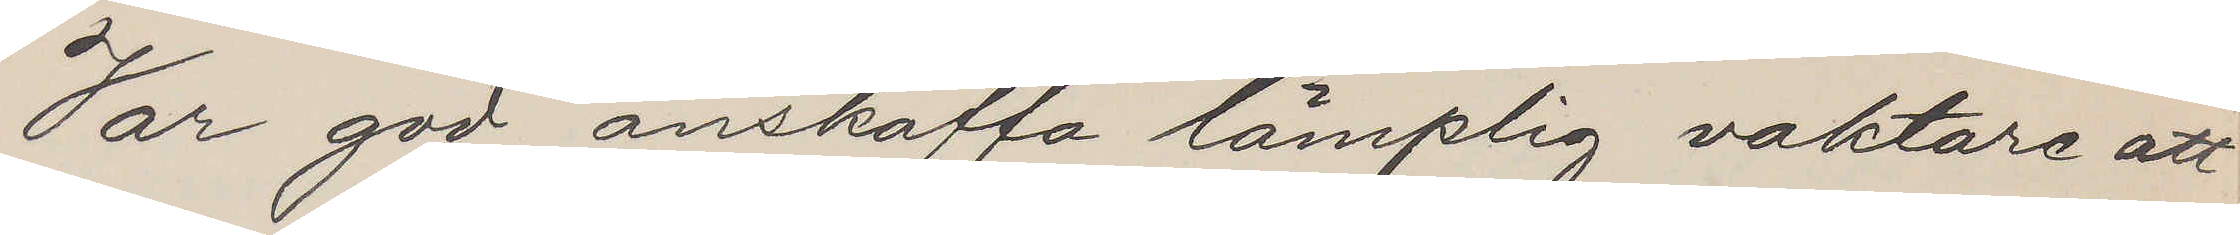Var god anskaffa lämplig vaktare att
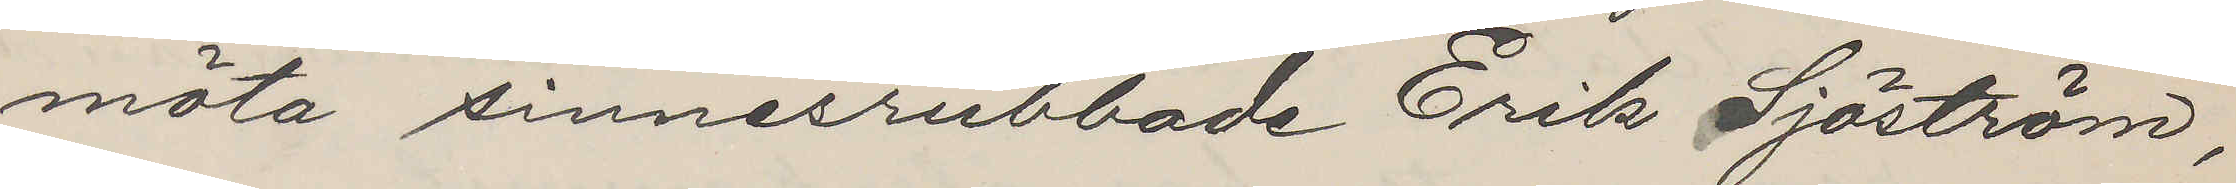möta sinnesrubbade Erik Sjöström,
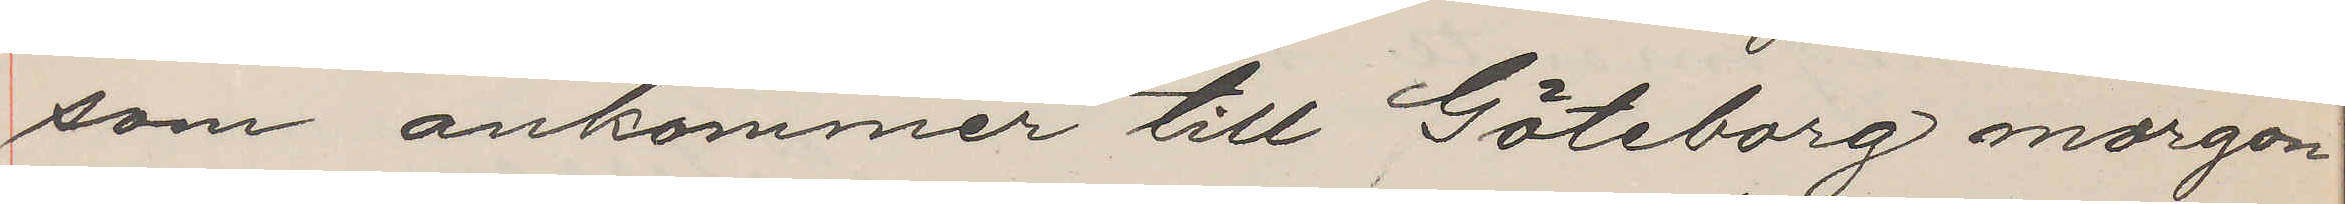som ankommer till Göteborg morgon
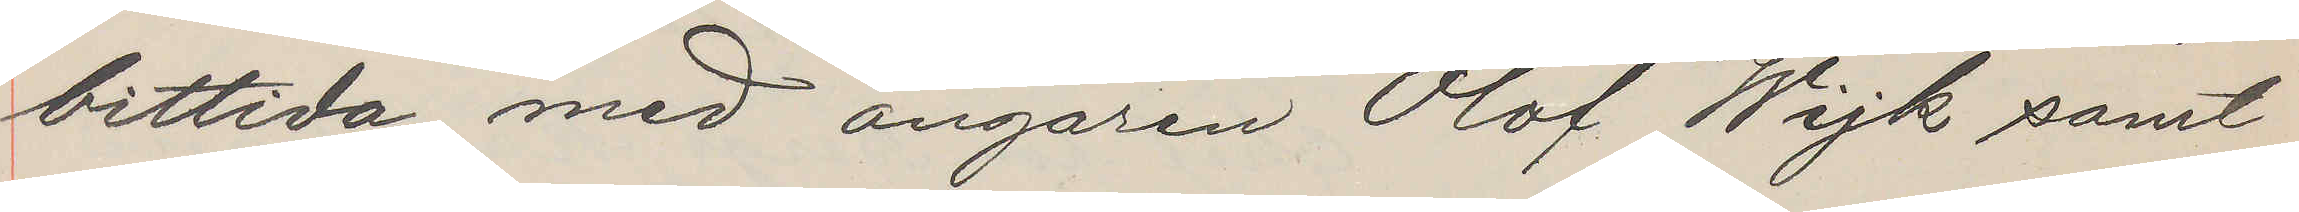bittida med ångaren Olof Wijk samt
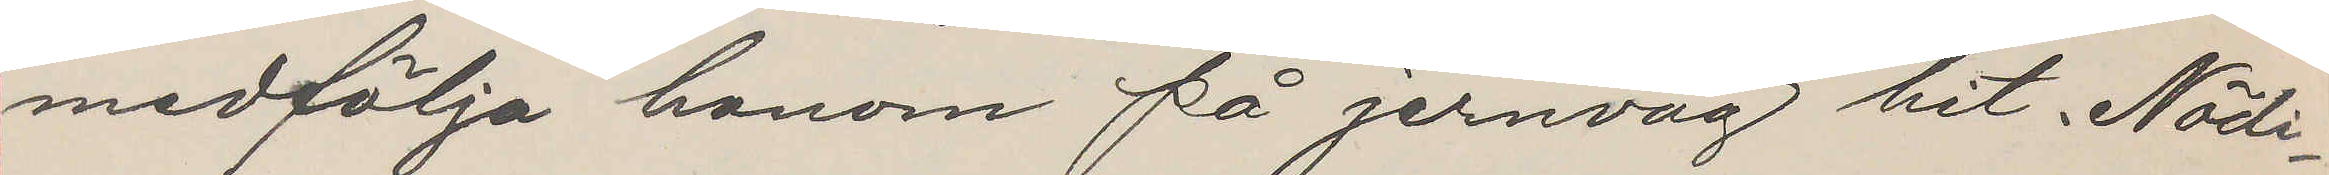medfölja honom på jernväg hit. Nödi¬
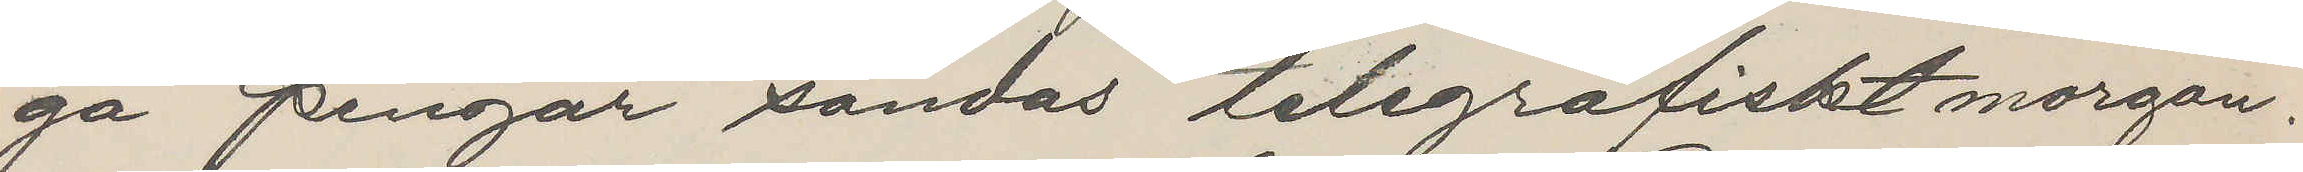ga pengar sändas telegrafiskt morgon.
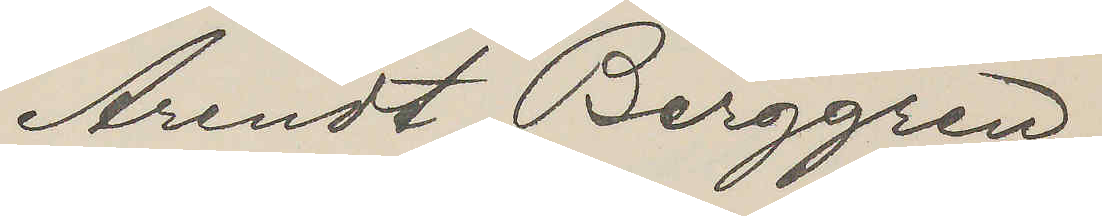Arendt Berggren
